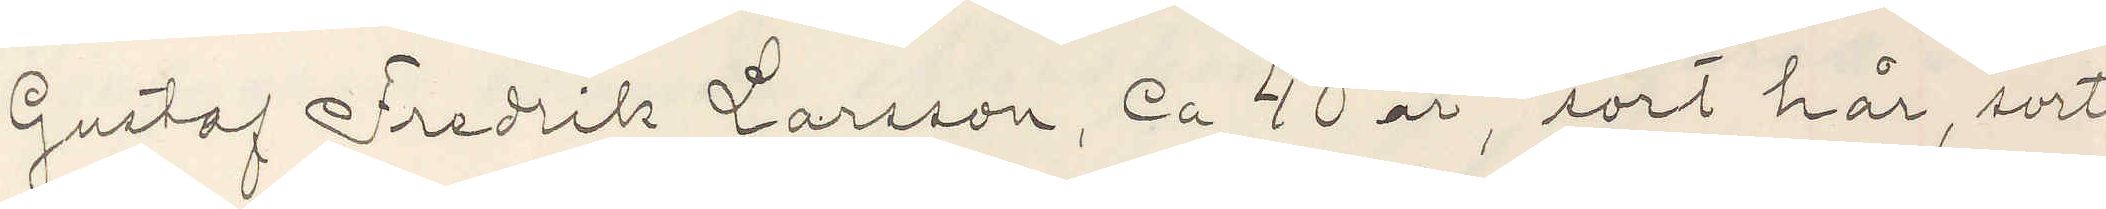Gustaf Fredrik Larsson, ca 40 år, sort hår, sorte
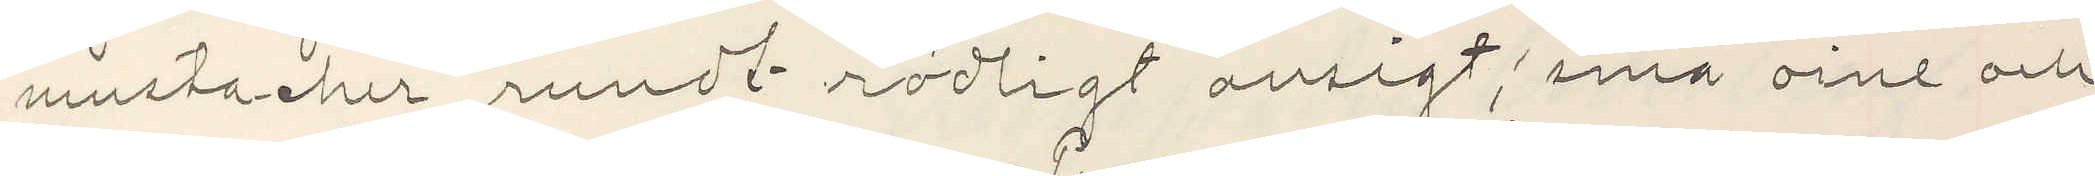mustacher, rundt rödligt ansigt, små oine och
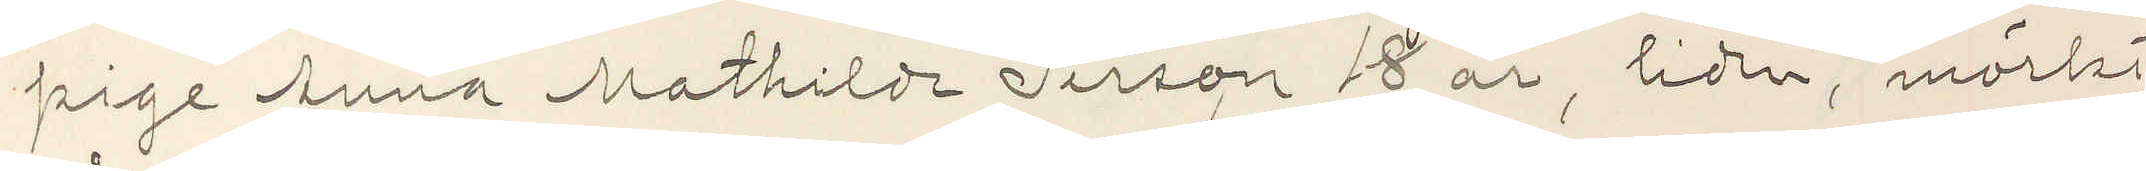pige Anna Mathilde Person 18 år, liden, mörkt
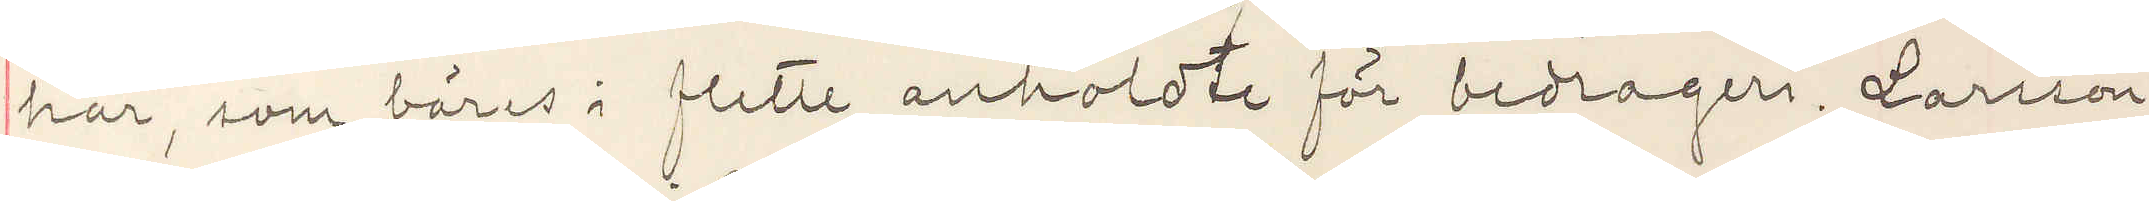hår, som bäres i flette anholdt för bedrageri. Larsson
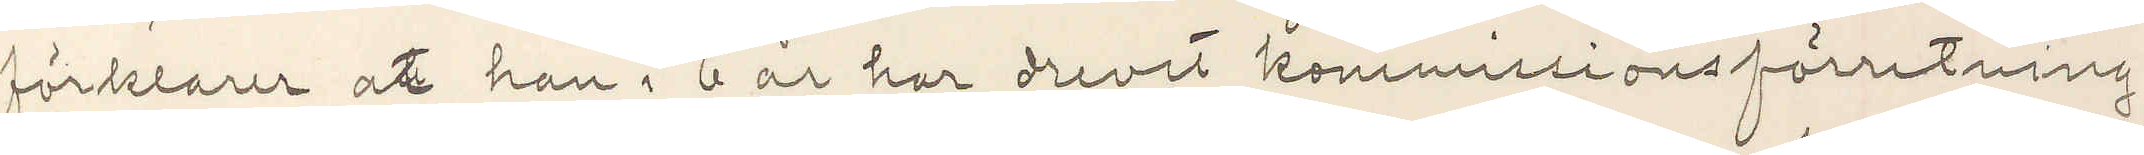förklarer at han i 6 år har drevet kommissionsförretning i
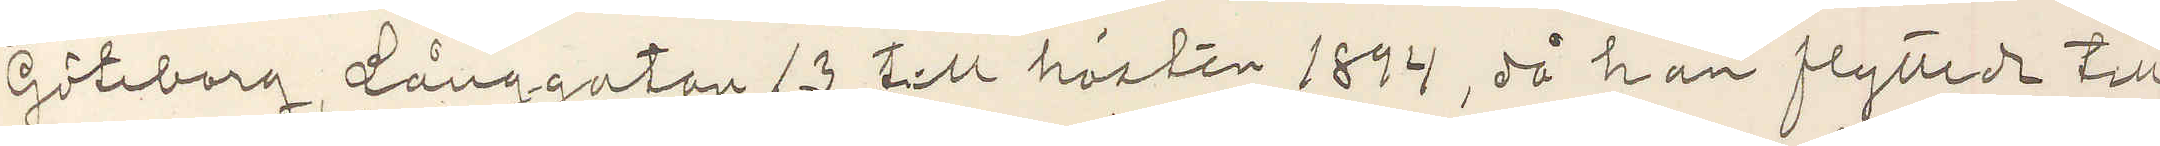Göteborg, Långgatan 13 till hösten 1894, då han flyttade till
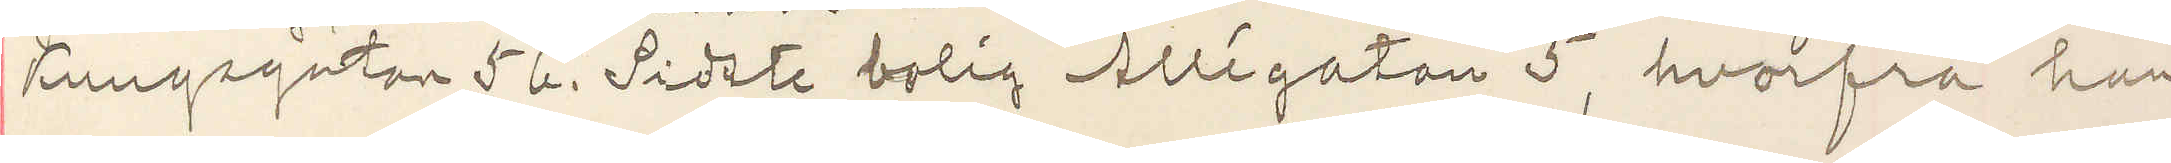Kungsgatan 56. Sidste bolig Allégatan 5, hvorfra han
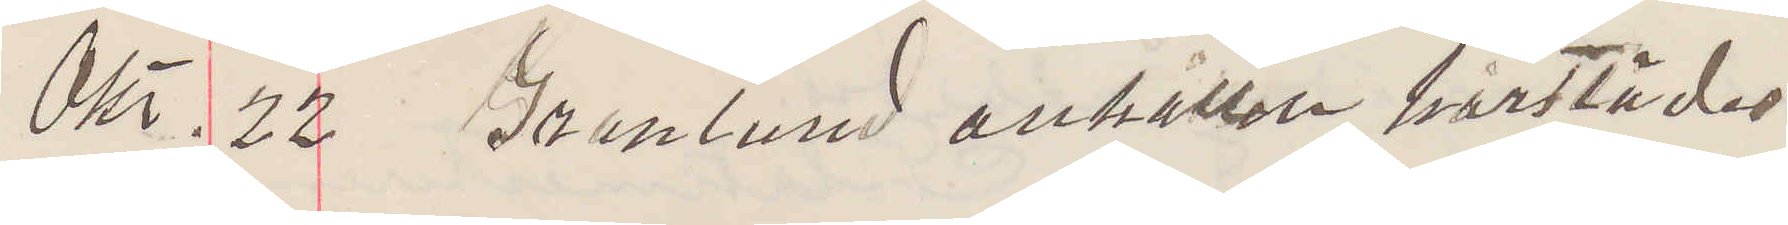Okt. 22 Granlund anhållen härstädes
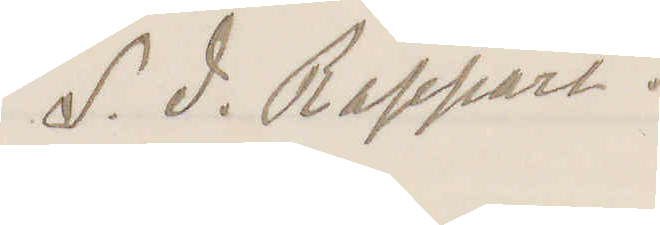S. d. Rapport.
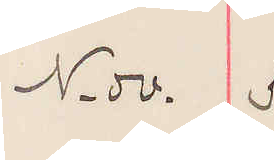Nov. 5
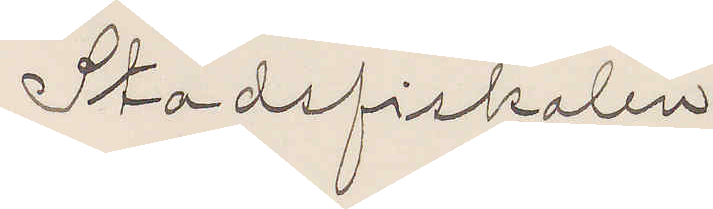Stadsfiskalen
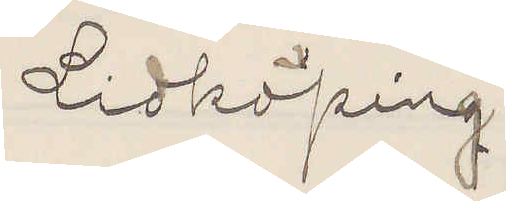Lidköping
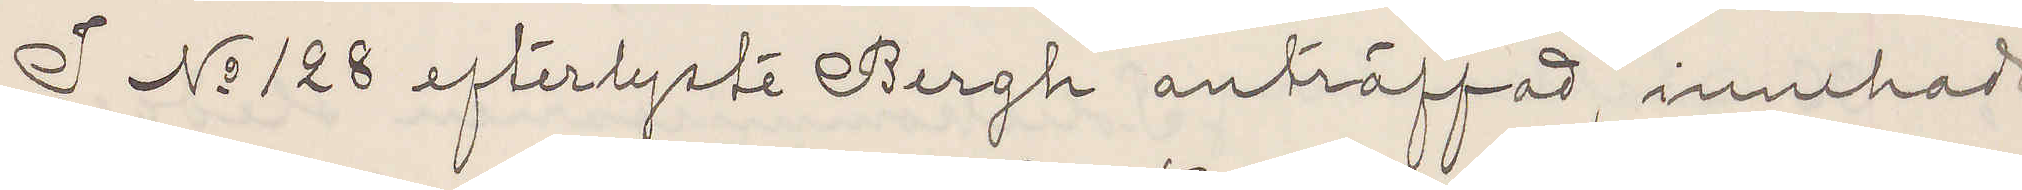I No 128 efterlyste Bergh anträffad, innehade
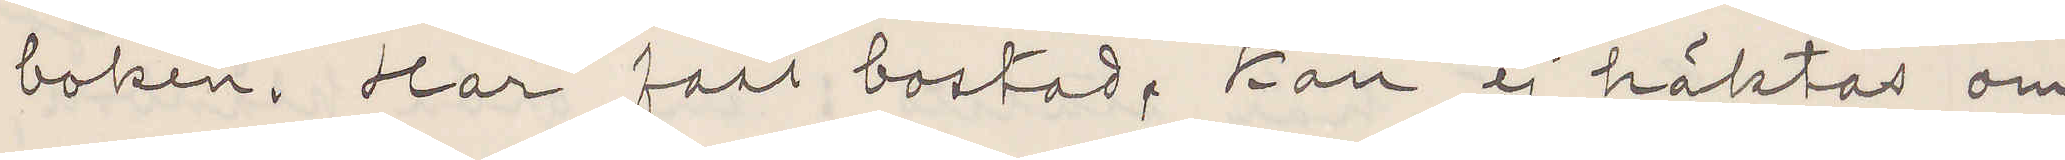boken. Har fast bostad. Kan ej häktas om
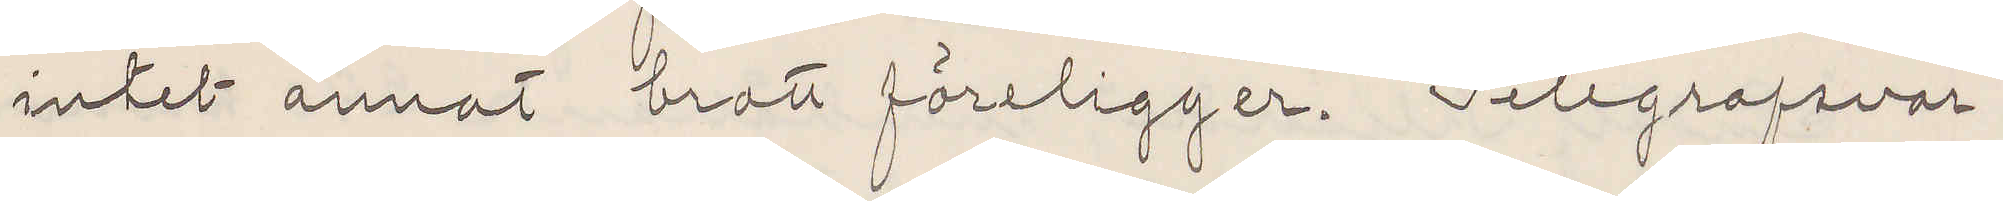intet annat brott föreligger. Telegrafsvar.
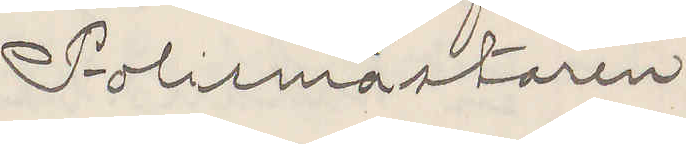Polismästaren.
